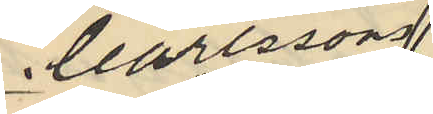Carlssons
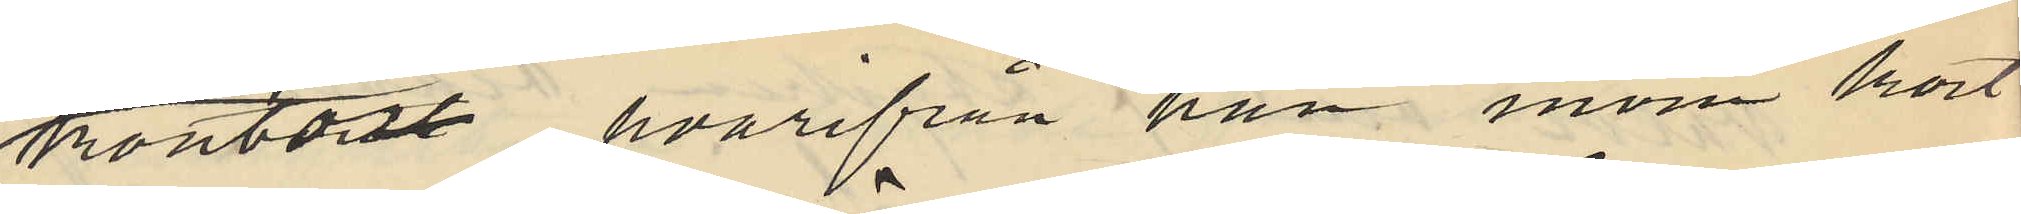kontor, hvarifrån han inom kort
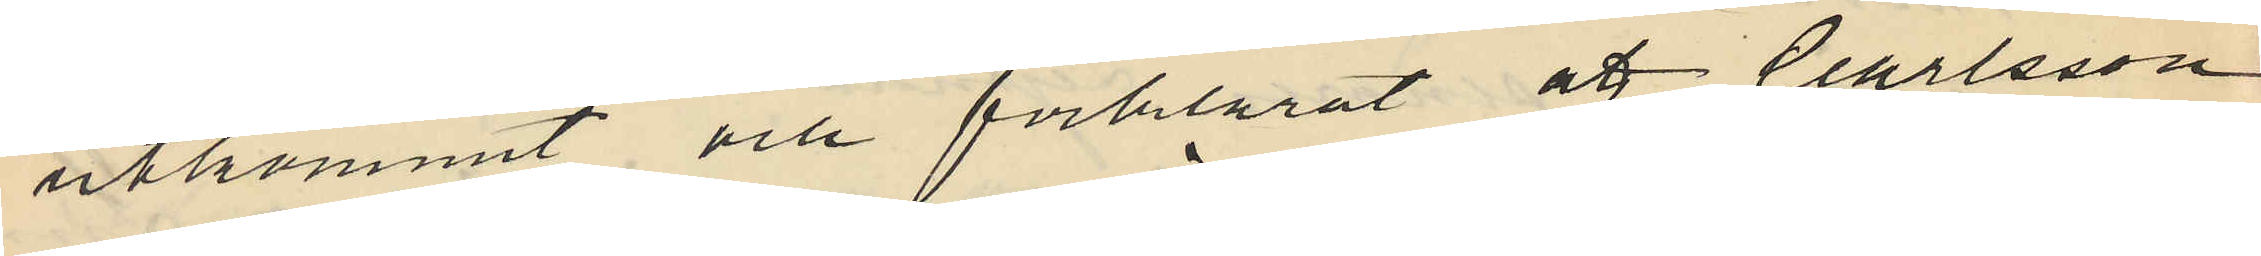utkommit och förklarat, att Carlsson
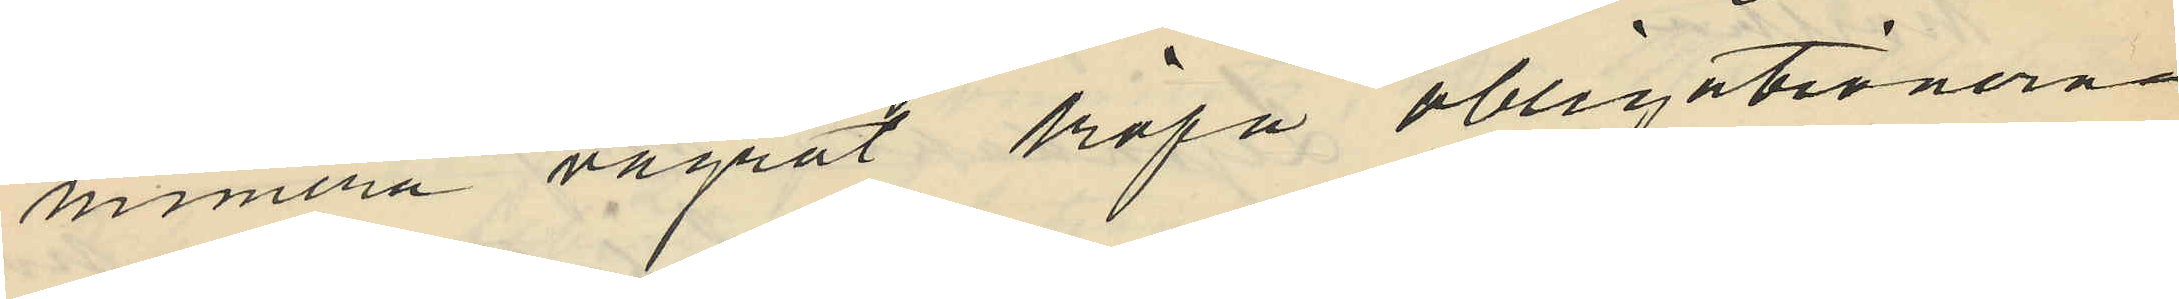numera vägrat köpa obligationera
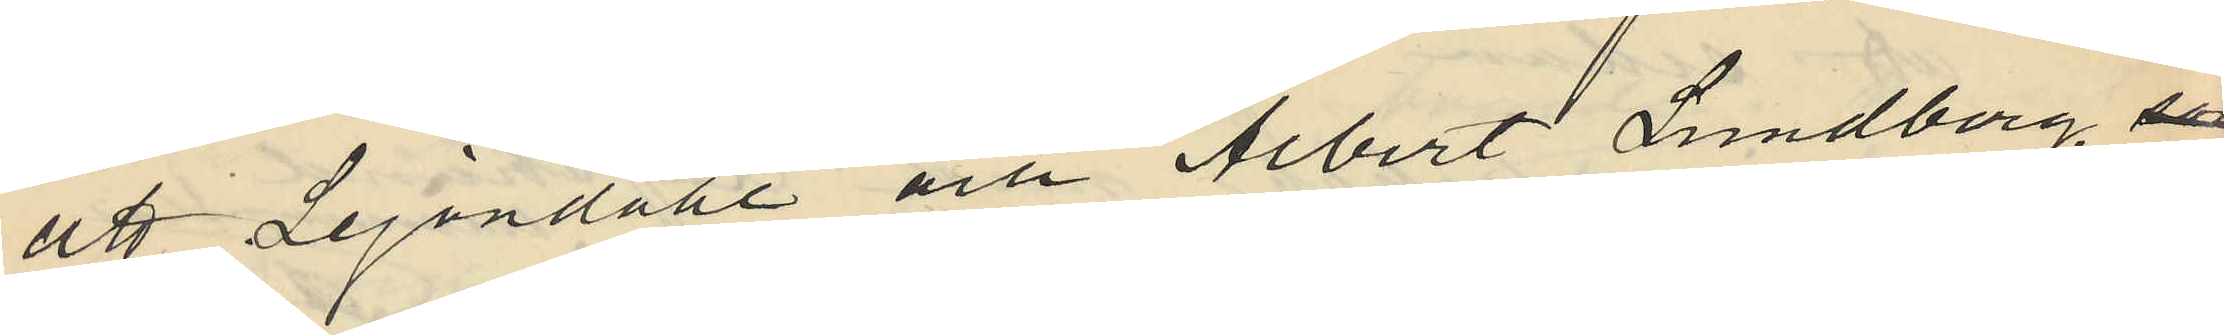att Lejondahl och Albert Lundberg, så
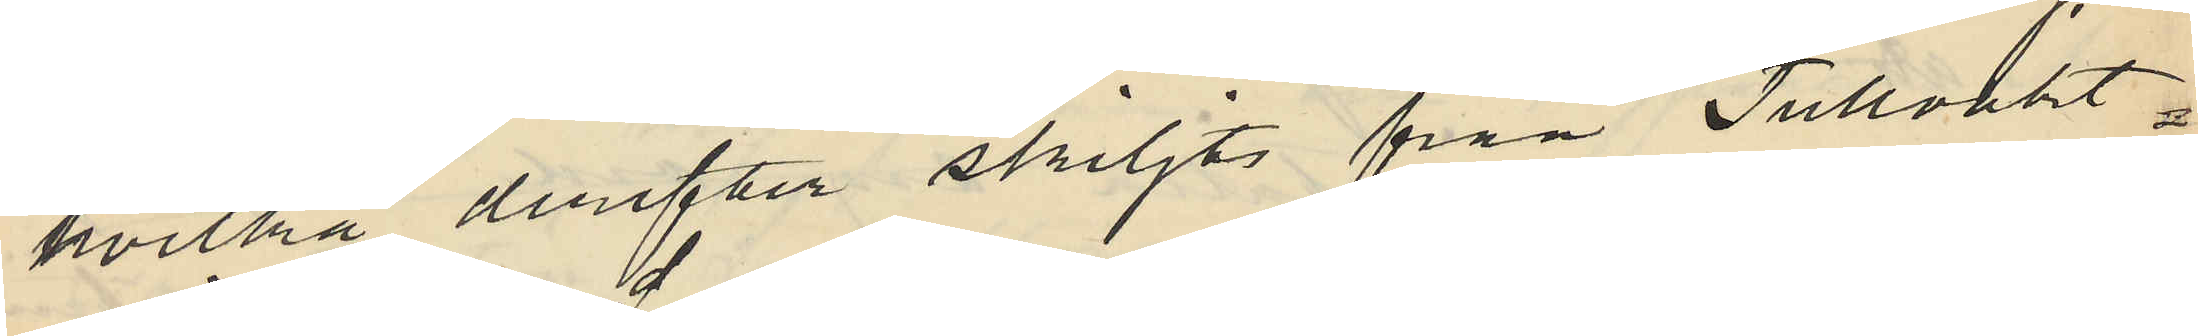hvilka derefter skiljts från Tullvakt¬
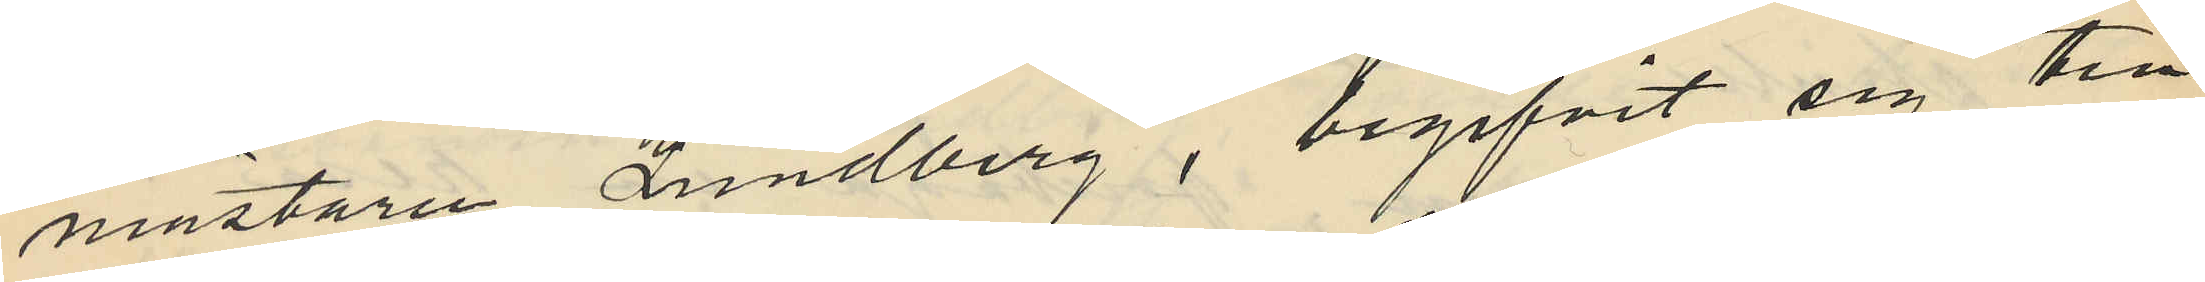mästaren Lundberg, begifvit sig till
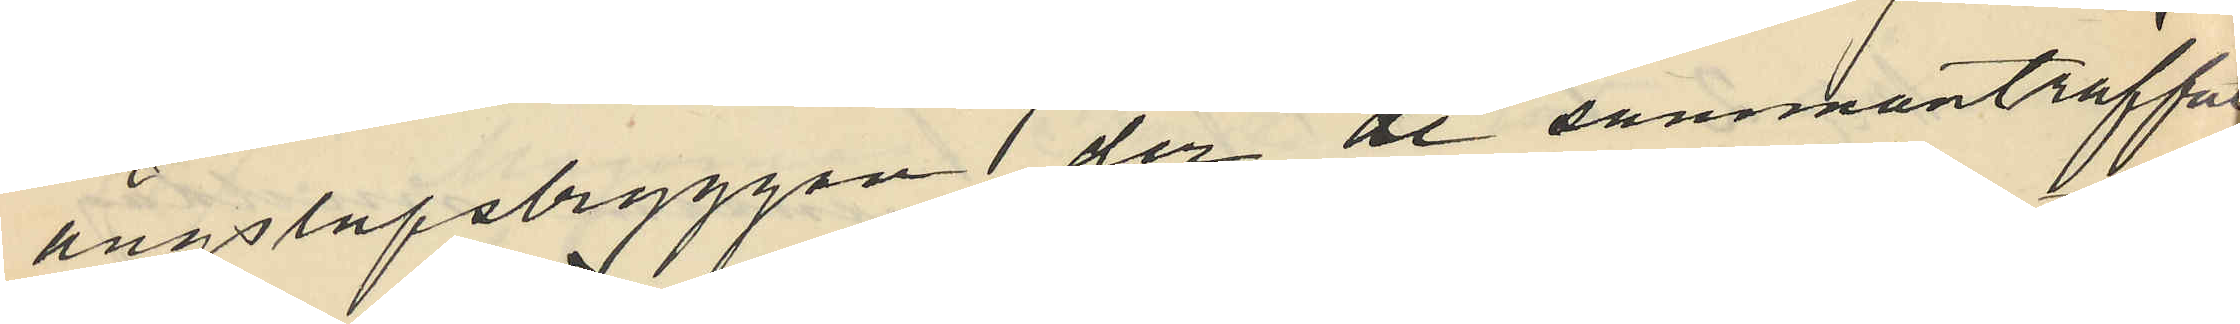ångbåtsbryggan der de sammanträffat
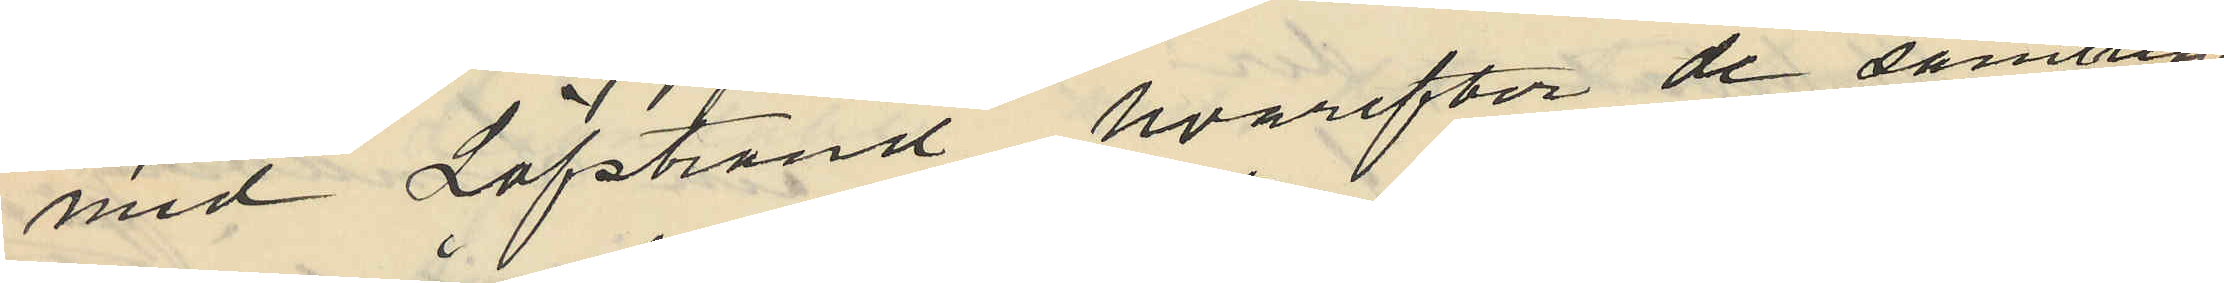med Löfstrand, hvarefter de samtlige
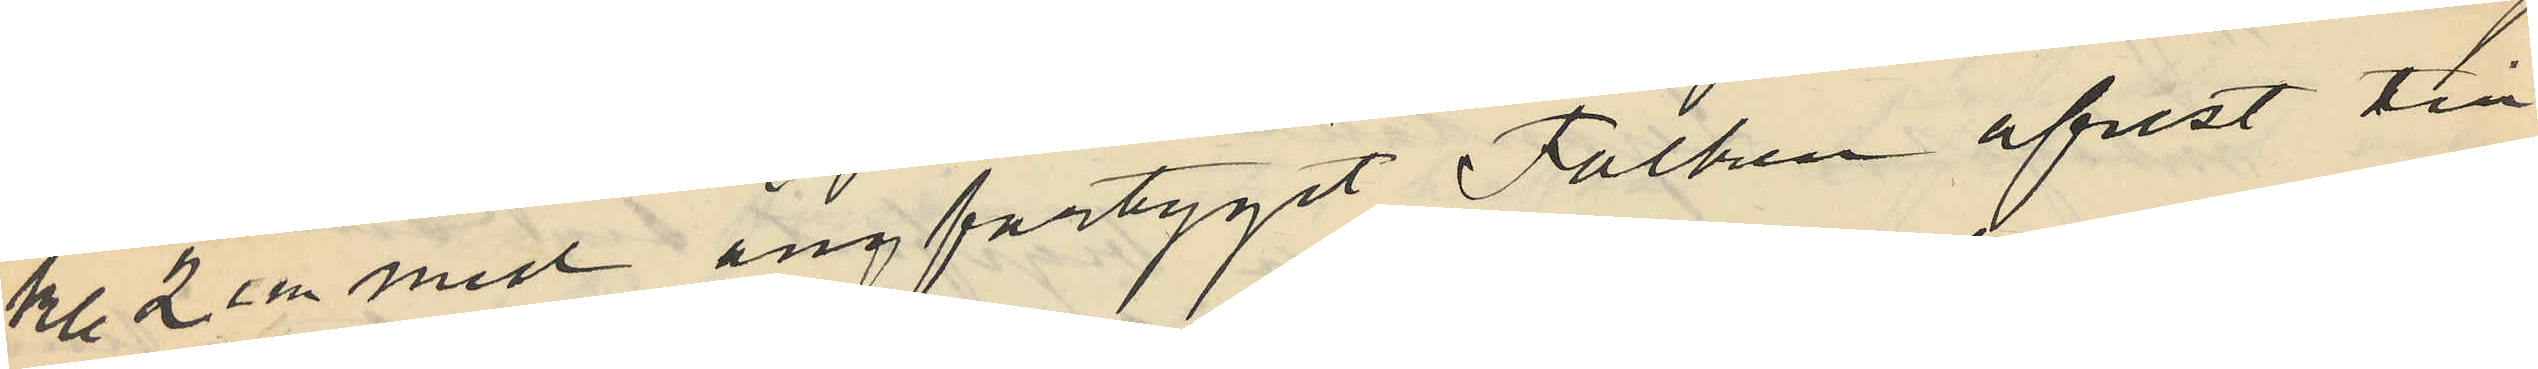kl. 2 e m med ångfartyget Falken afrest till
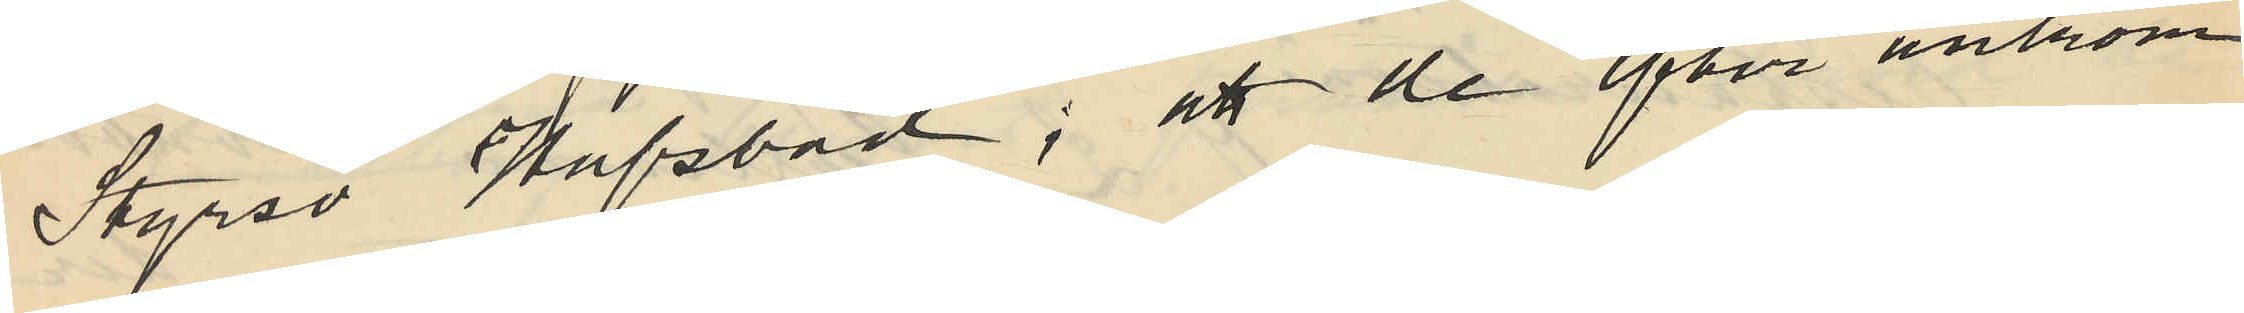Styrsö Hafsbad; att de efter ankom¬
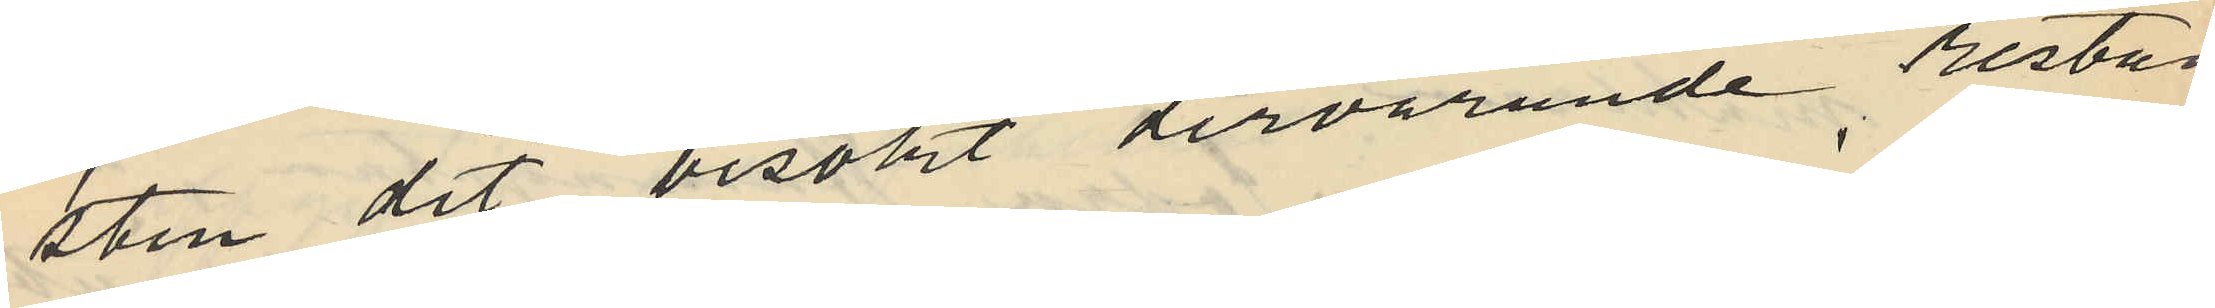sten dit besökt dervarande restau¬
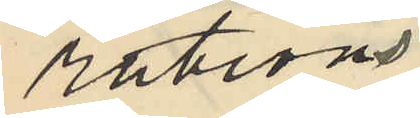rations¬
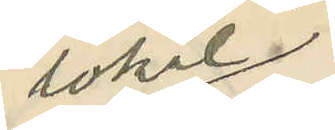lokal
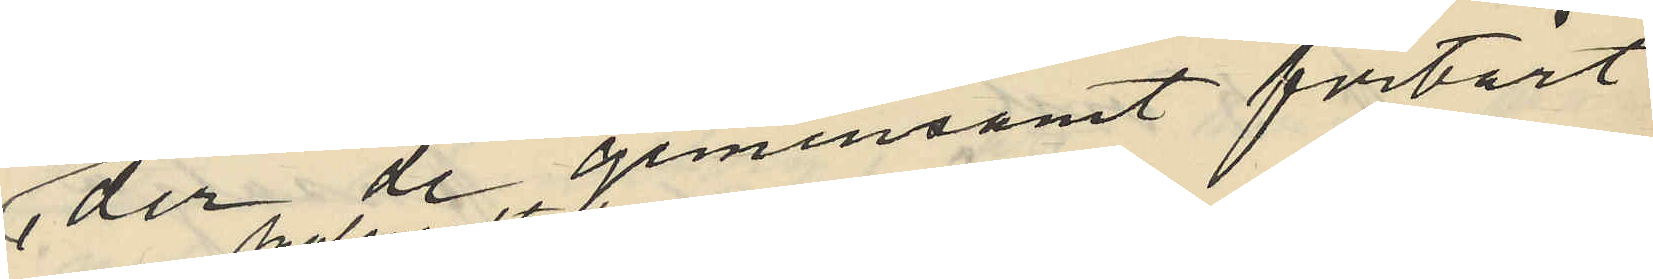, der de gemensamt förtärt
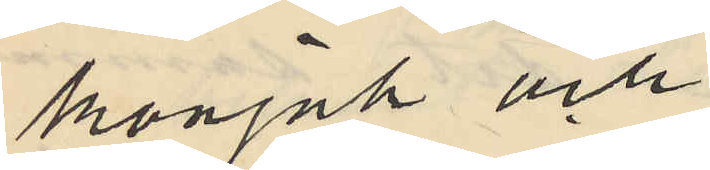konjak och
